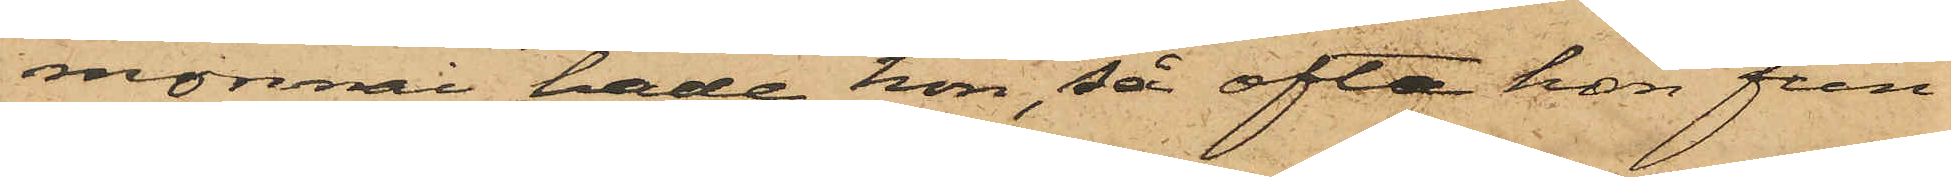monnai hade hon, så ofta hon fun¬
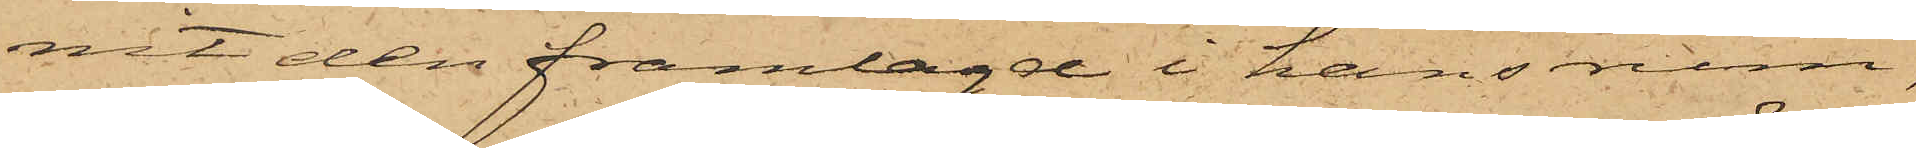nit den framlagd i hans rum,
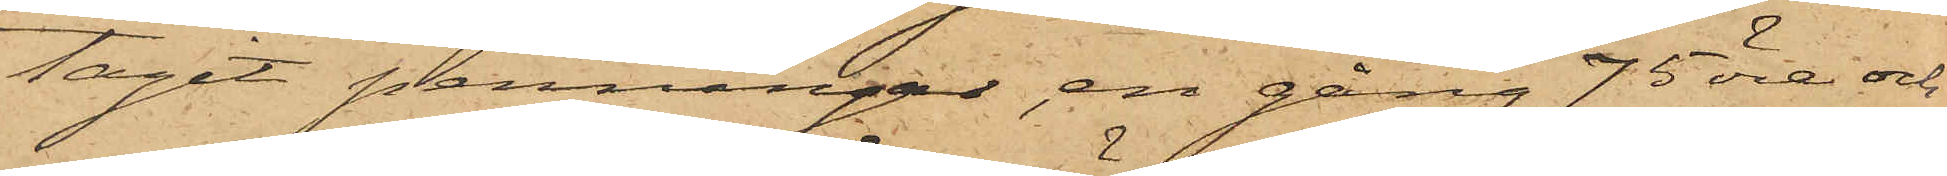tagit penningar, en gång 75 öre och
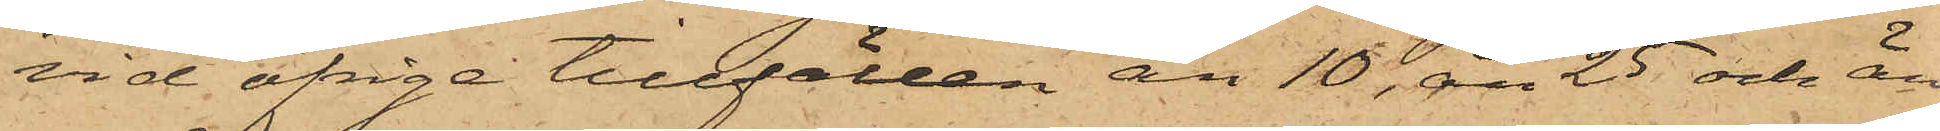vid öfrige tillfällen än 10, än 25 och än
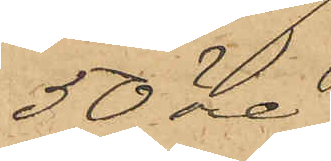50 öre.
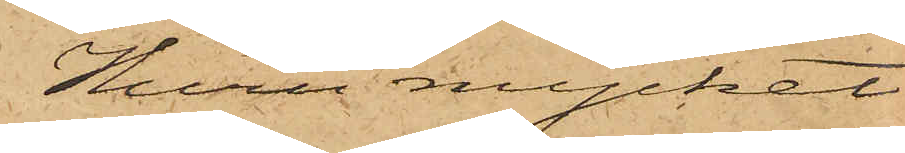Huru mycket
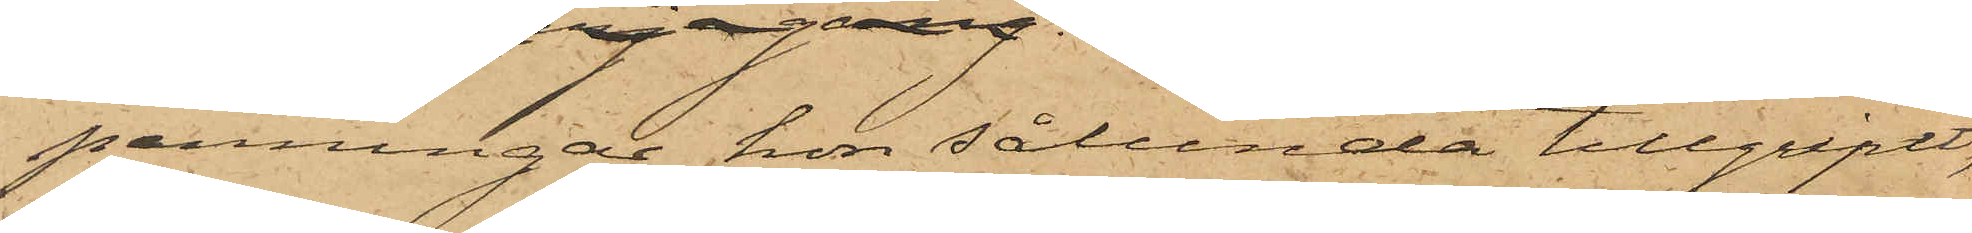penningar hon sålunda tillgripit
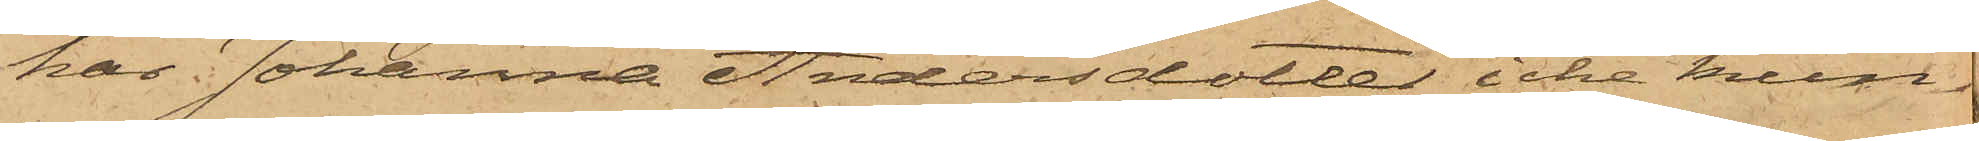har Johanna Andersdotter icke kun¬
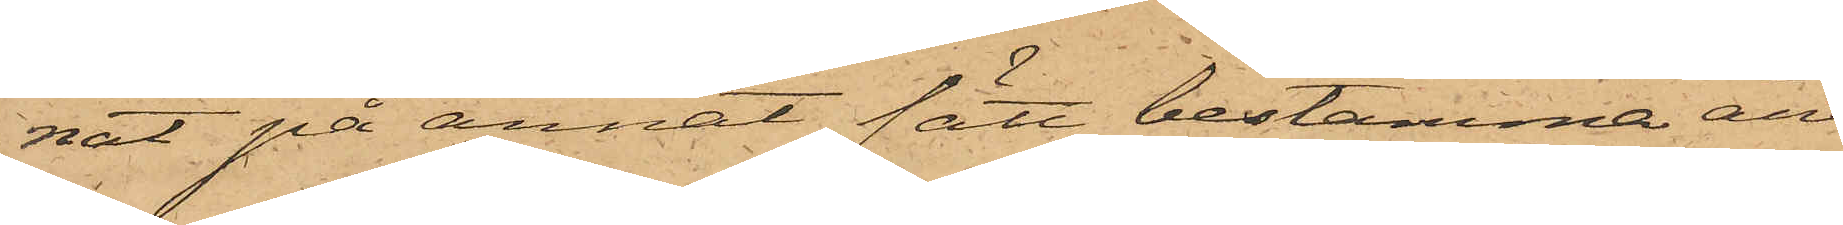nat på annat sätt bestämma än
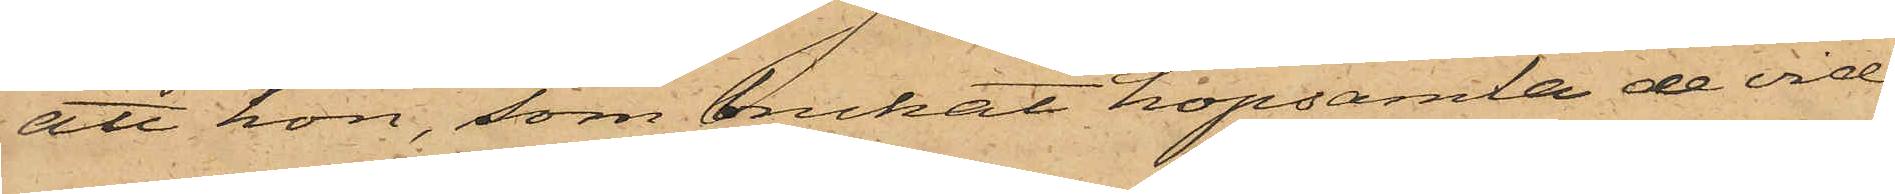att hon, som brukat hopsamla de vid
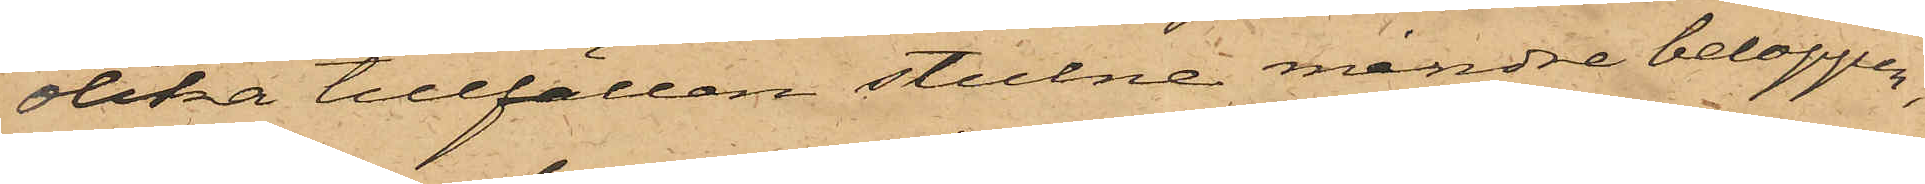olika tillfällen stulne mindre beloppen,
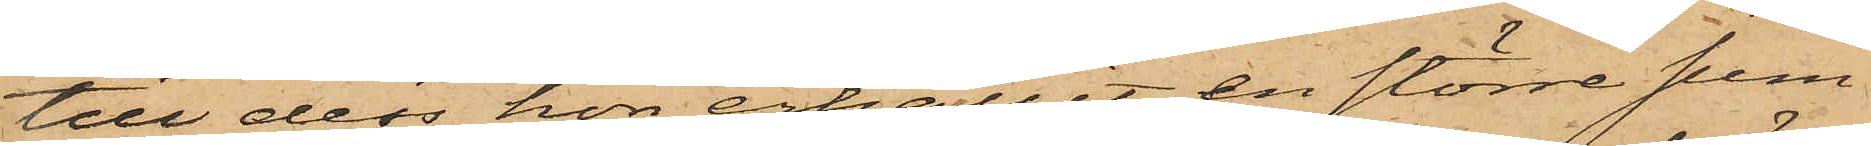till dess hon erhållit en större sum¬
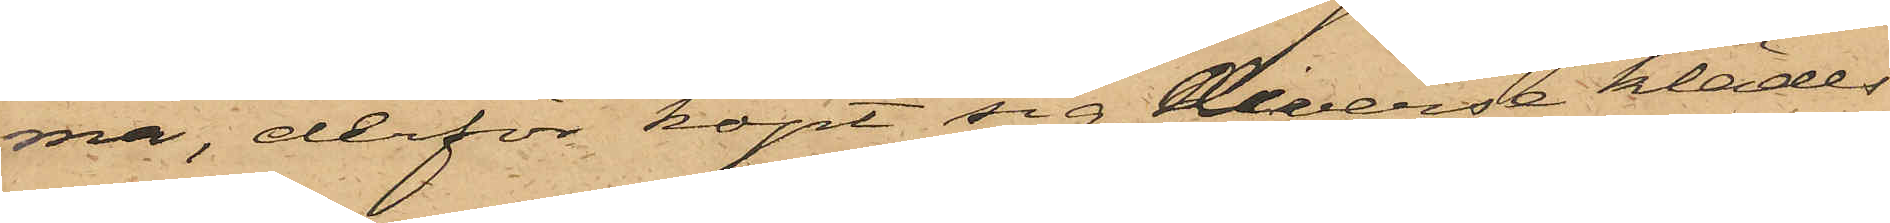ma, derför köpt sig diverse klädes¬
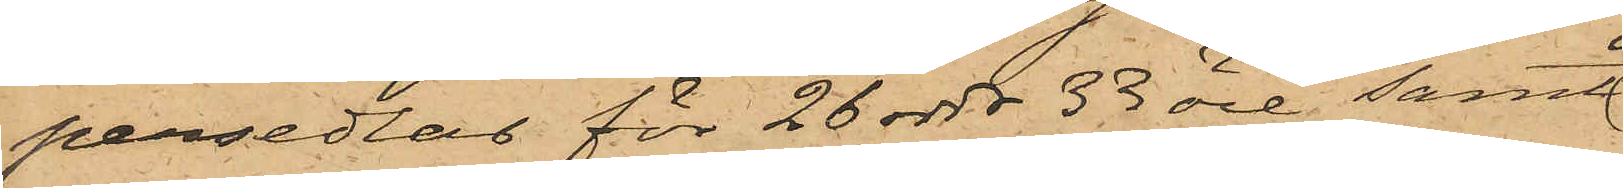persedlar för 26 rdr 33 öre samt
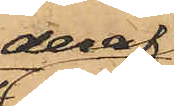deraf
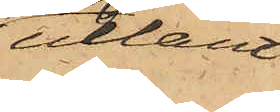utlånt
